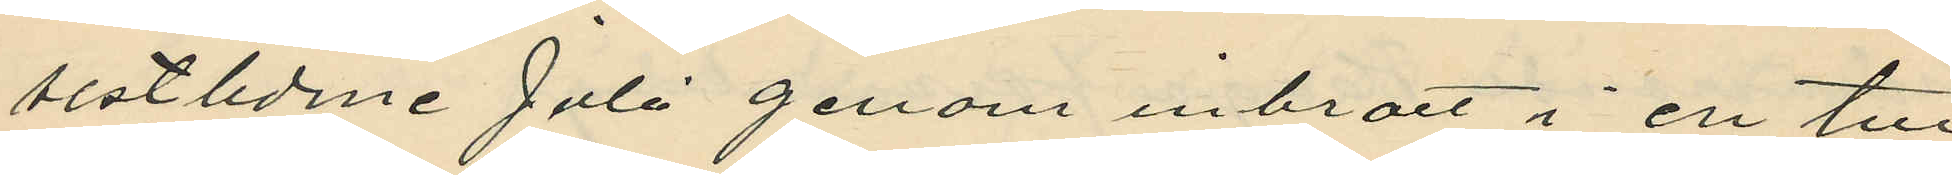sistlidne Juli genom inbrott i en till
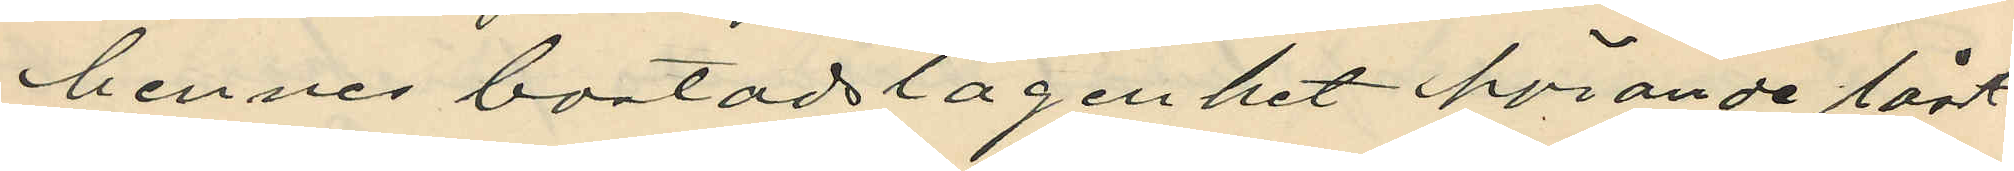hennes bostadslägenhet hörande låst
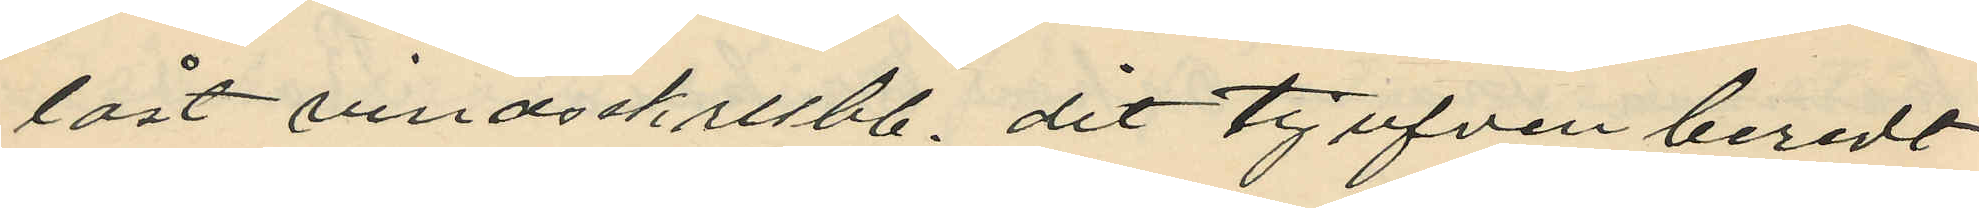låst vindsskrubb, dit tjufven beredt
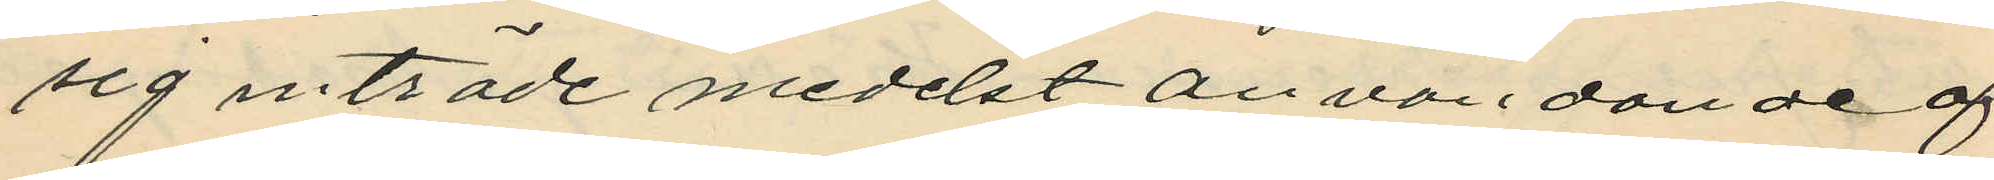sig inträde medest anvandande af
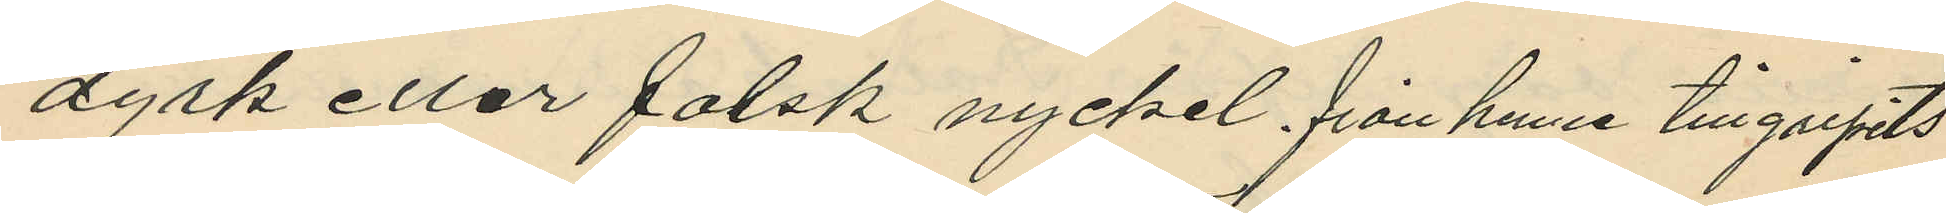dyrk eller falsk nyckel, från henne tillgripits
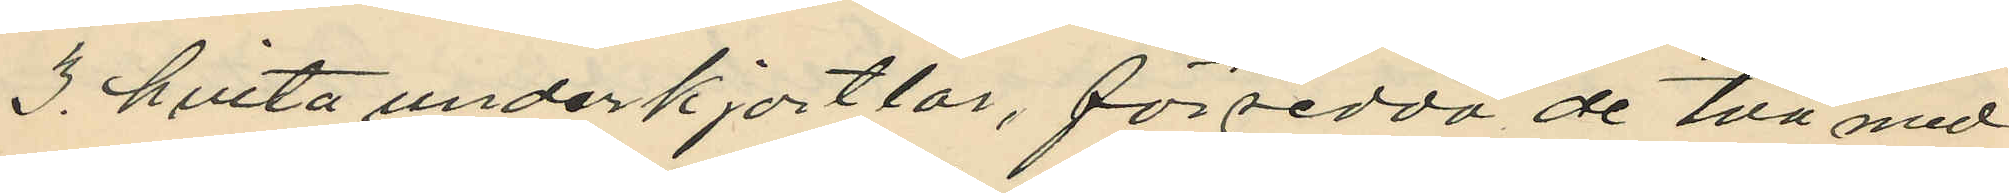3. hvita underkjortlar, försedda de två med
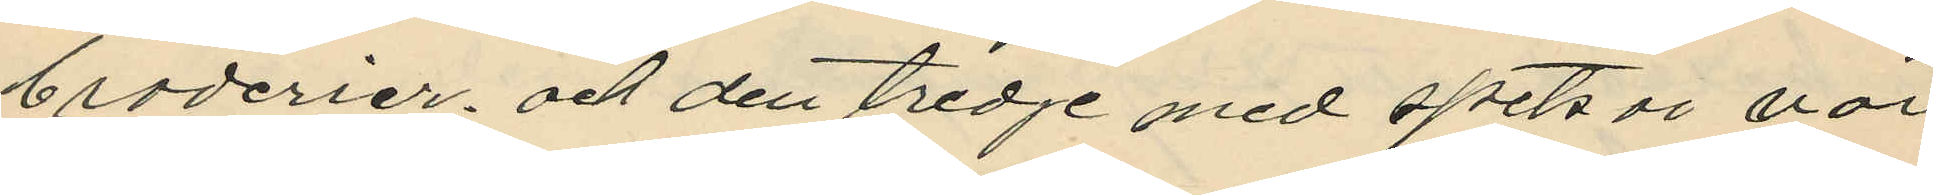broderier, och den tredje med spetsar vär
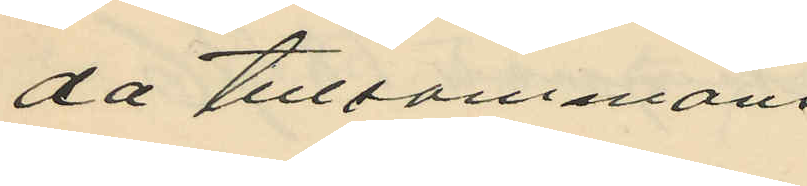da tillsammans
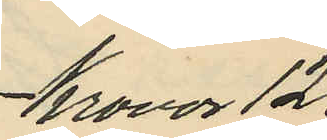Kronor 12.
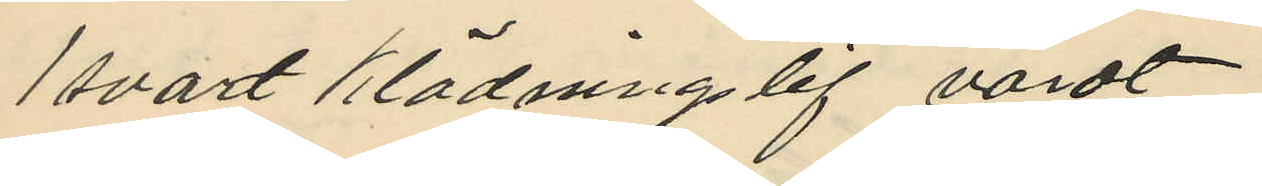1 svart klädningslif värdt
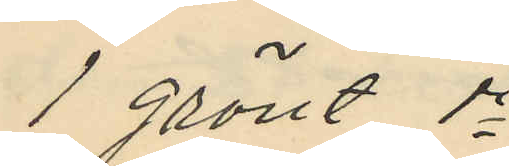1 grönt do
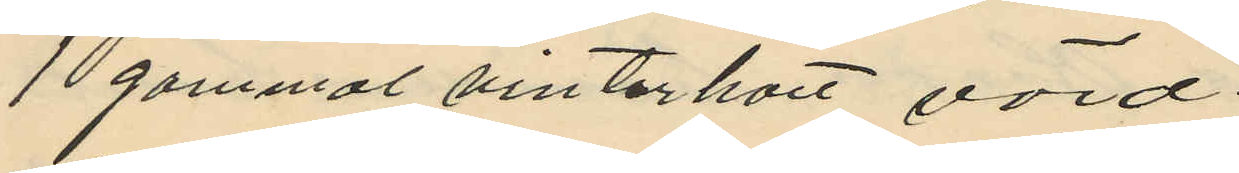1 gammal vinterhatt värd
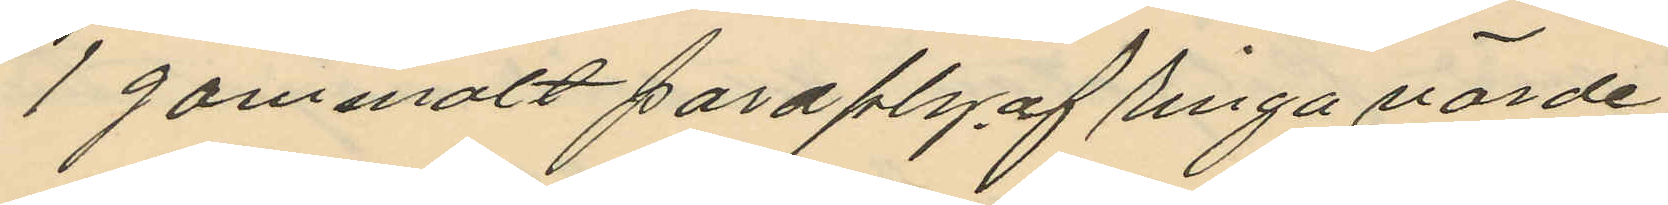1 gammalt paraply, af ringa värde.
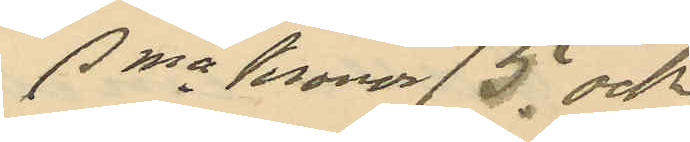Sma Kronor 15. och
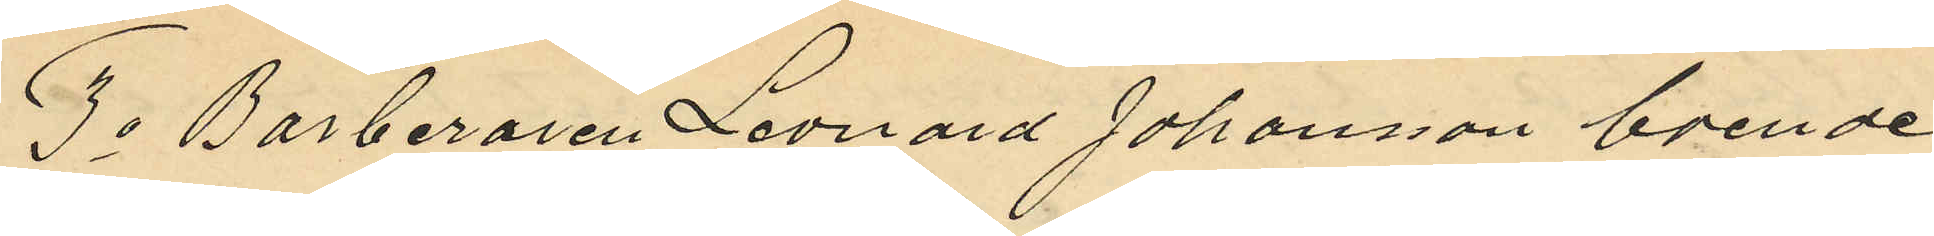3o Barberaren Leonard Johansson boende
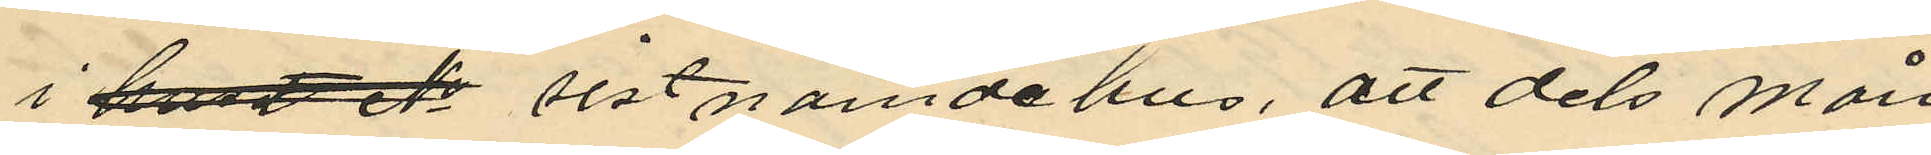i huset No sistnämde hus, att dels mån
